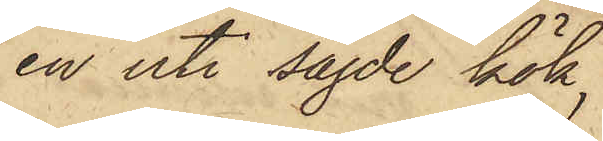en uti sagde kök,
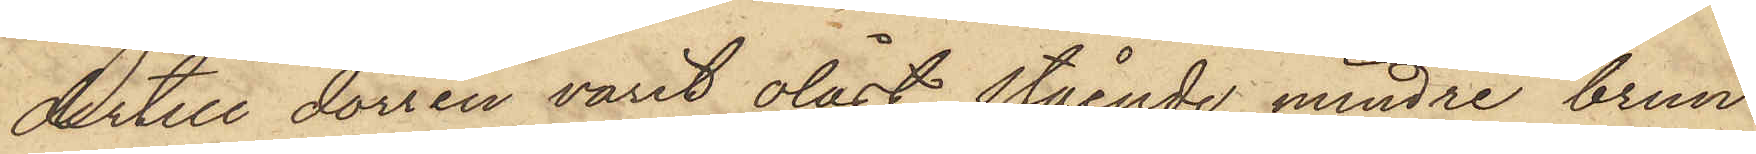dertill dörren varit olåst, stående mindre brun
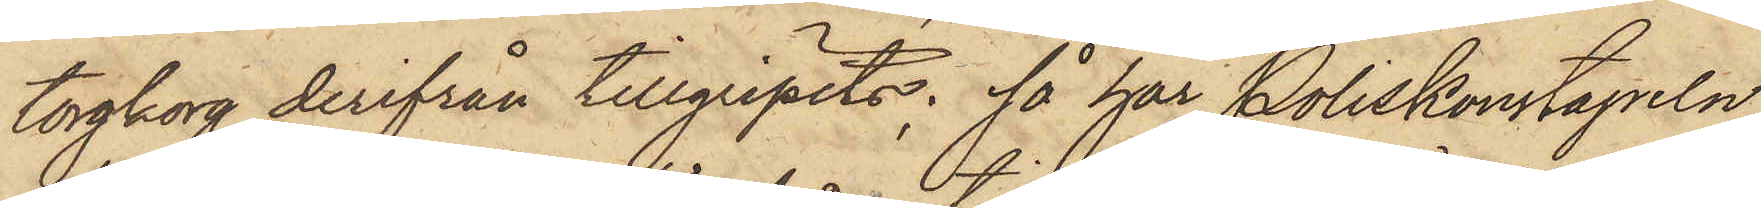torgkorg derifrån tillgripits; så har Poliskonstapeln
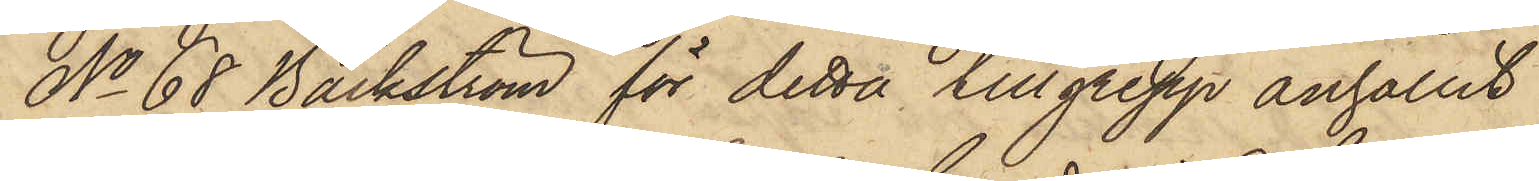No 68 Bäckström för detta tillgrepp anhållit
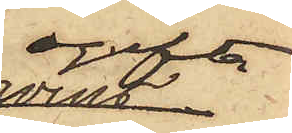ogifta
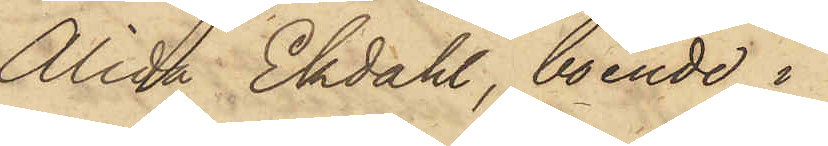Alida Ekdahl, boende i
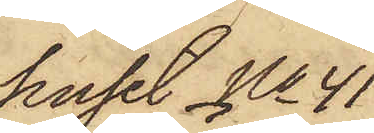huset No 41
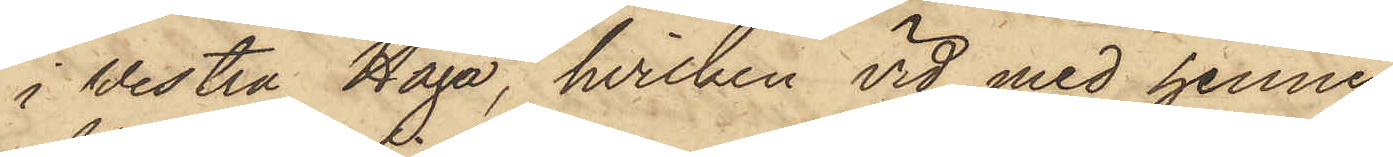i Westra Haga, hvilken vid med henne
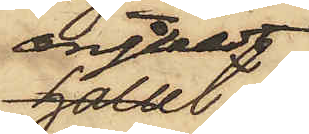anstäldt
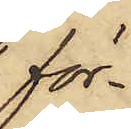för¬
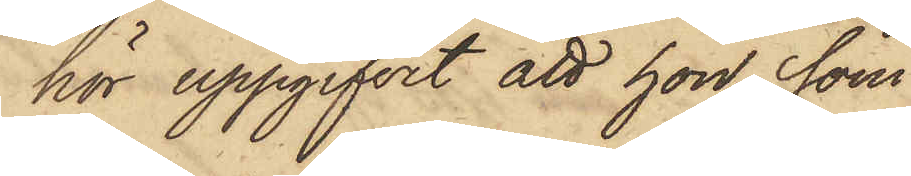hör uppgifvit att hon, som
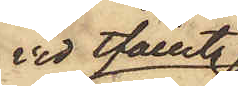vid tfället
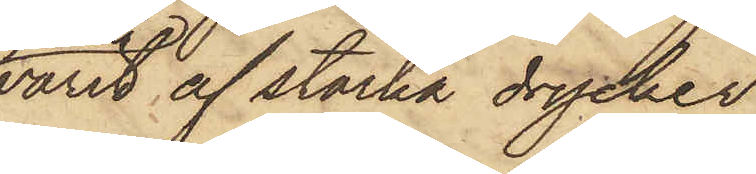varit af starka drycker
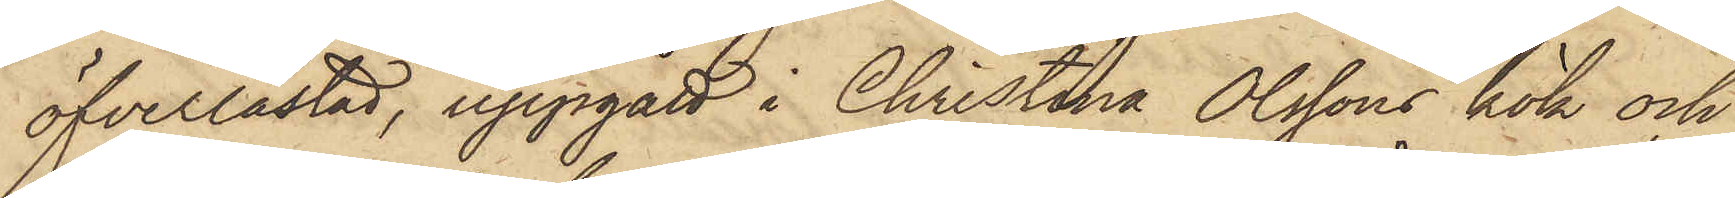öfverlastad, uppgått i Christina Olssons kök och
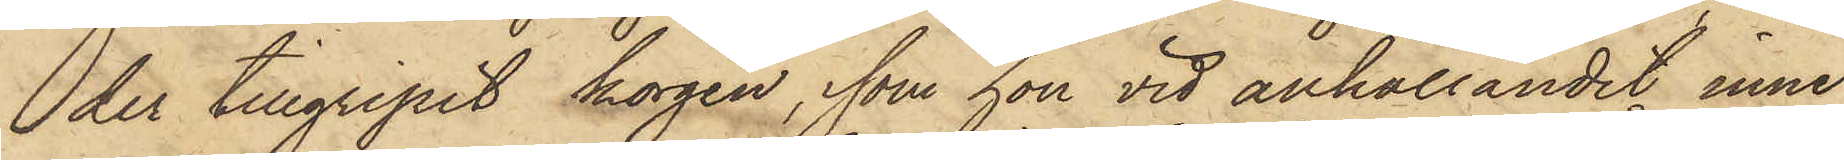der tillgripit korgen, som hon vid anhållandet inne¬
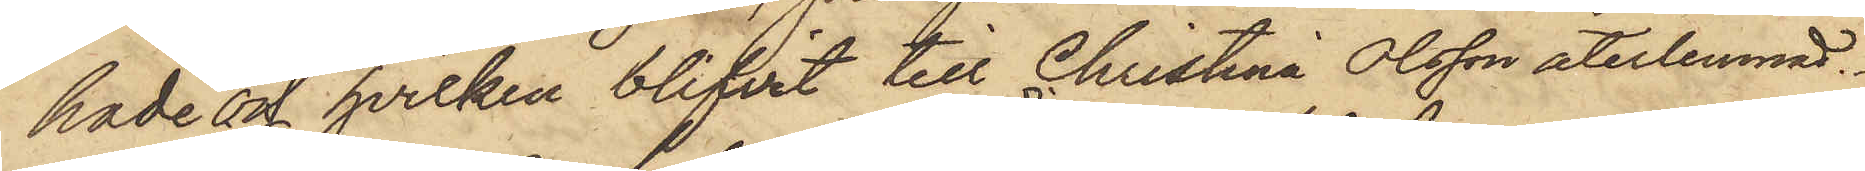hade och hvilken blifvit till Christina Olsson återlemnad.
